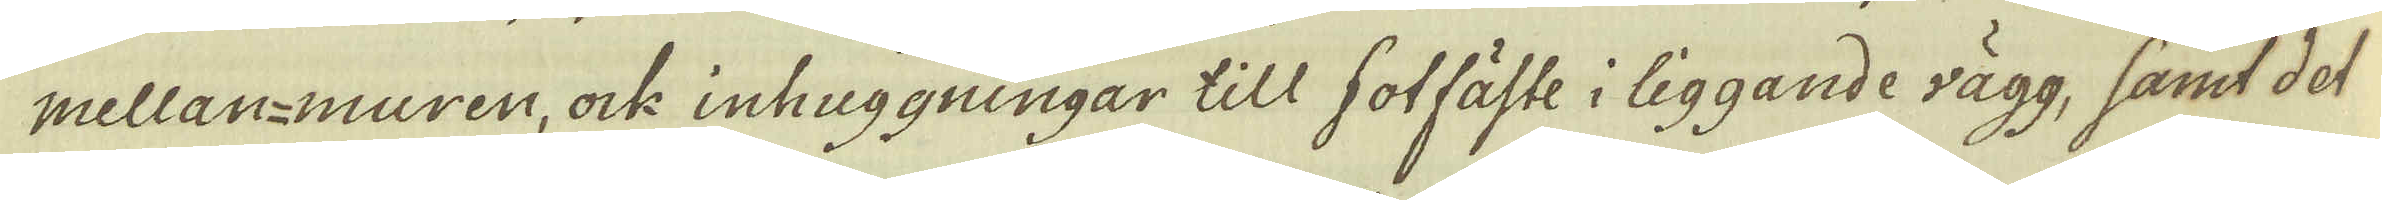mellan-muren, ock inhuggningar till sotfäste i liggande vägg, samt det
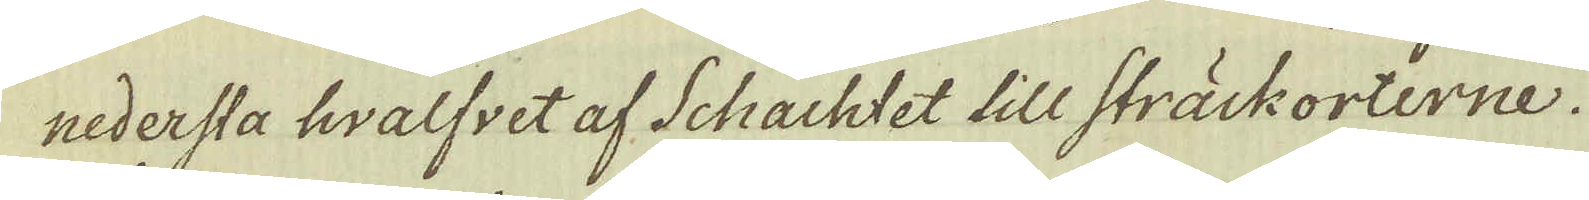nedersta hwalfvet af Schachtet till sträckorterne.
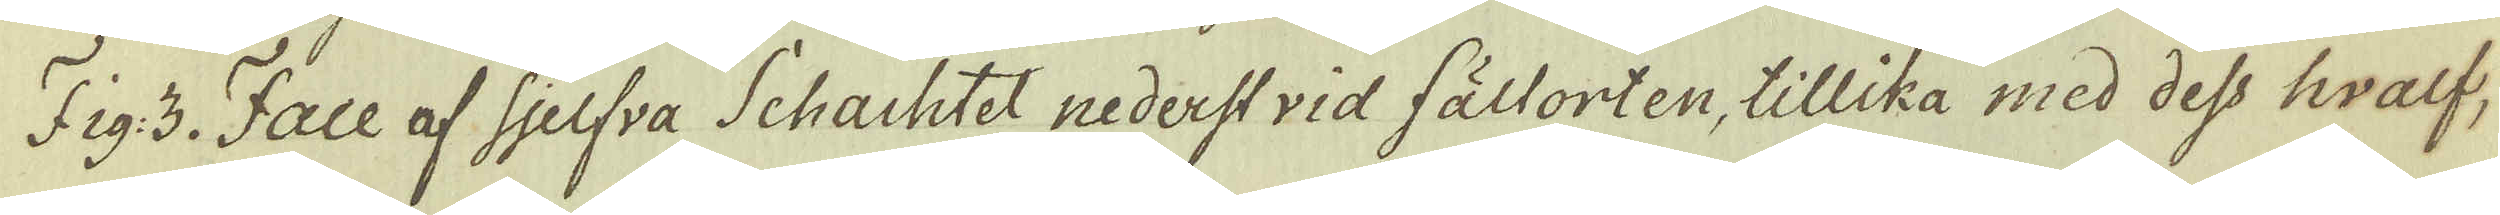Fig:3. Face af sjelfva Schachtet nederstvid fältorten, tillika med dess hwalf,
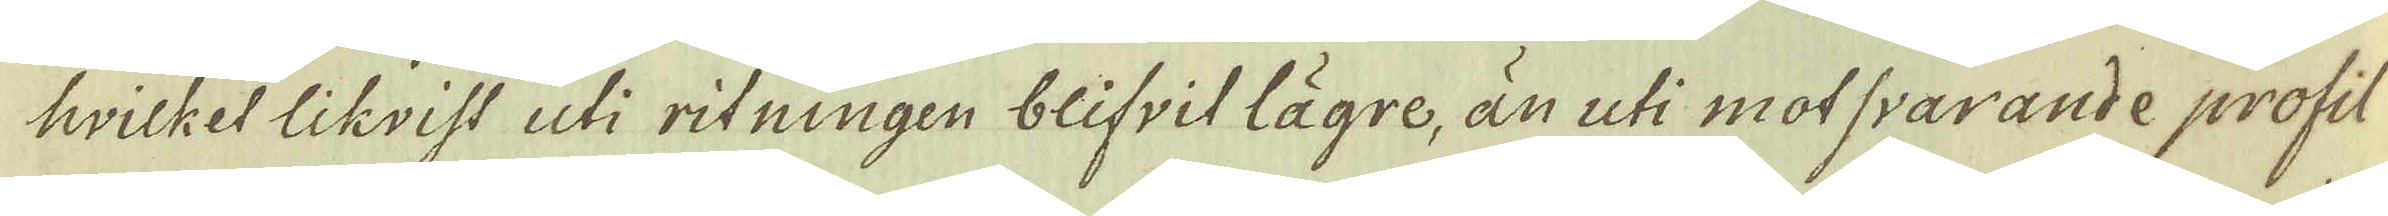hvicket likvist uti ritningen blifvit lägre, än uti motsvarande profil
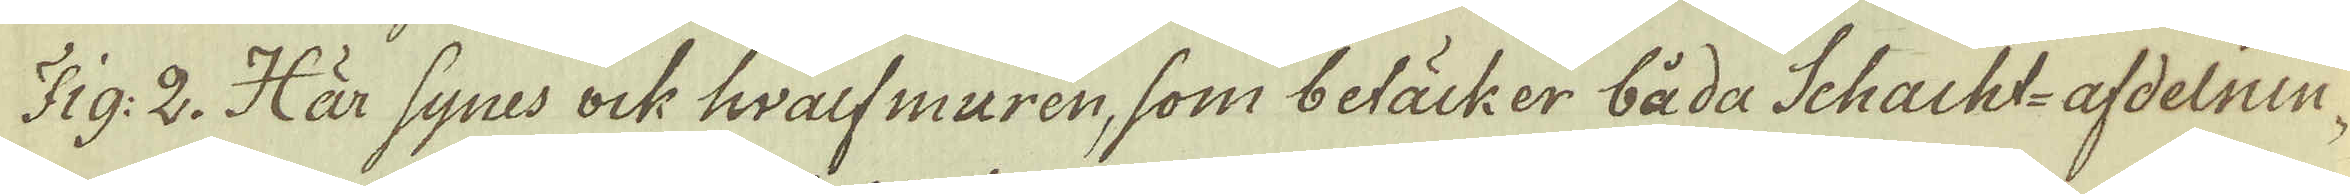Fig: 2. Här synes ock hwalfmuren, som betäcker båda Schacht-afdelnin-
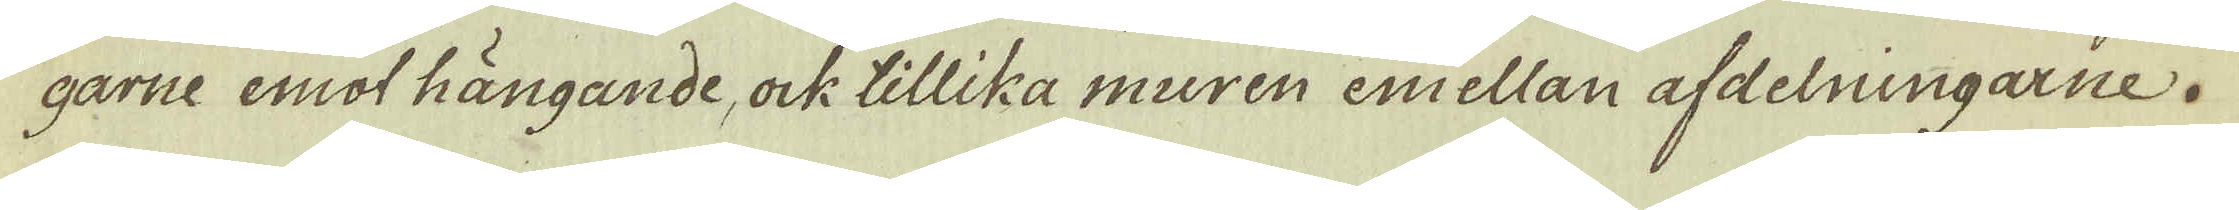garne emot hängande, ock tillika muren emellan afdelningarne.
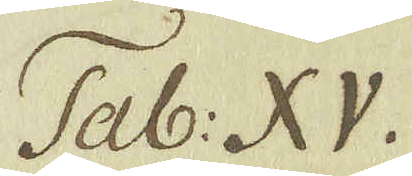Tab: XV.
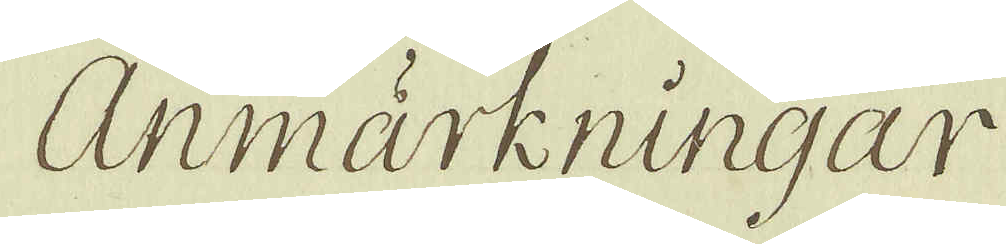Anmärkningar
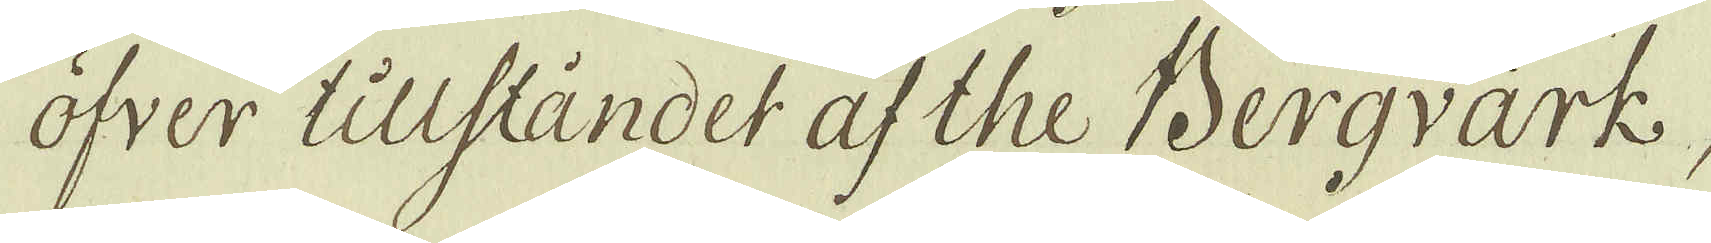öfver tillståndet af the Bergvärk
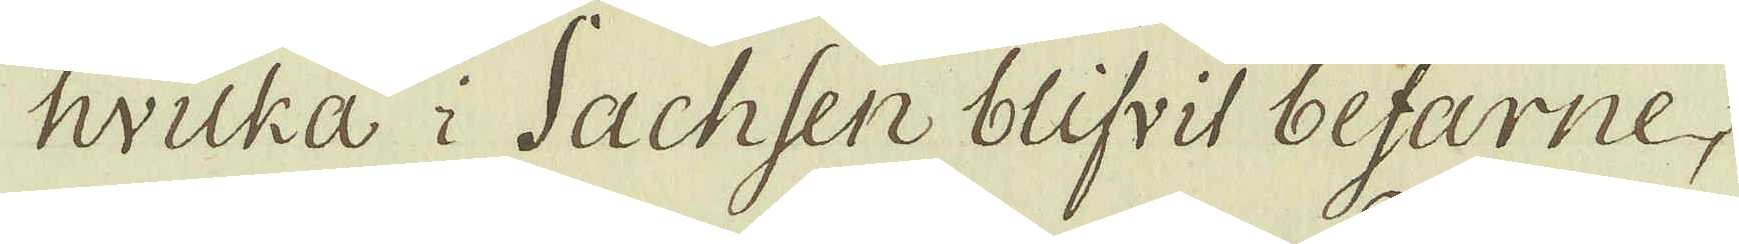hvilka i Sachsen blifvit befarne
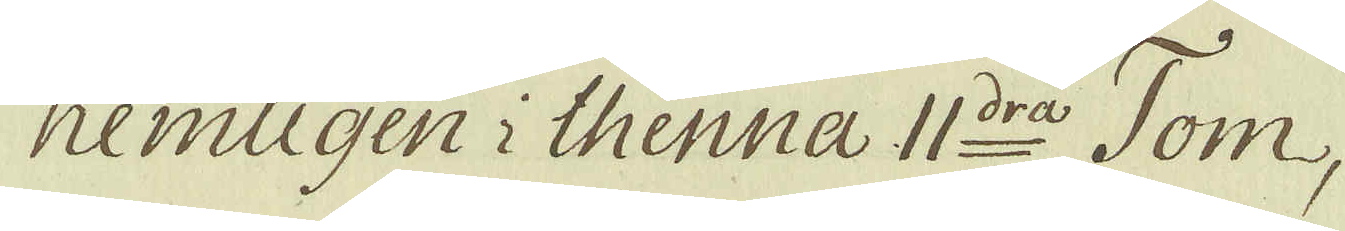nemligen i thenna 11:dra Tom,
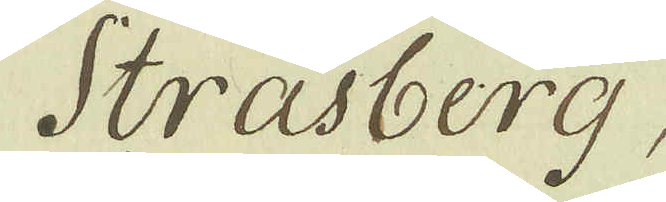Strasberg,
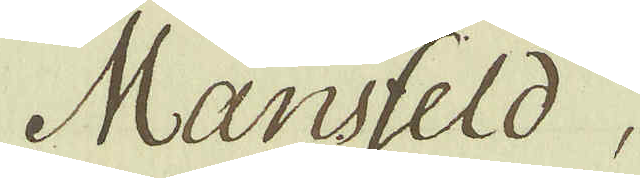Manfeld,
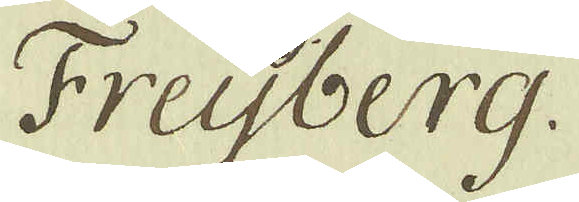Freijberg.
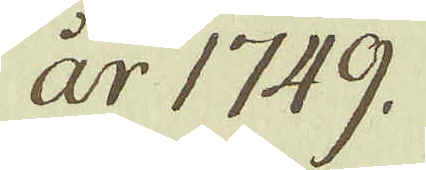år 1749.
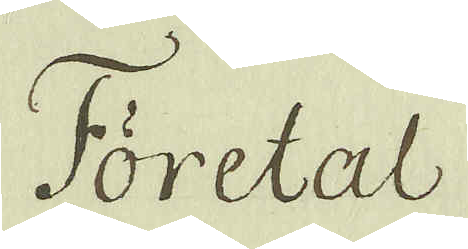Företal
